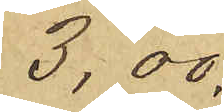3,00.
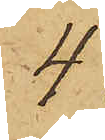4
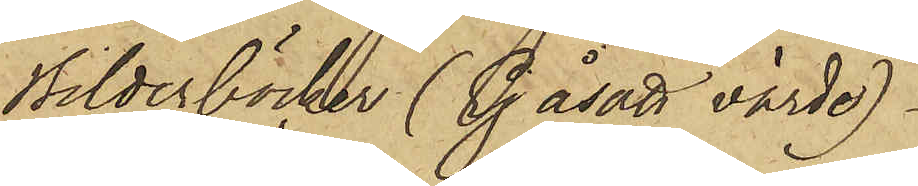Bilderböcker (Ej åsatt värde)
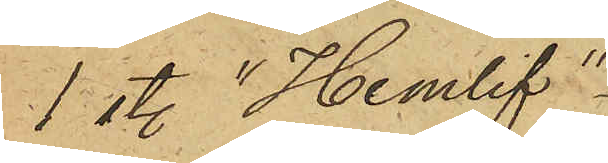1 st. "Hemlif"
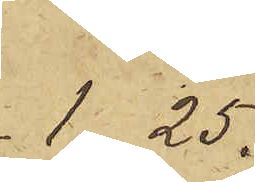1,25
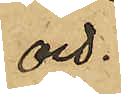och
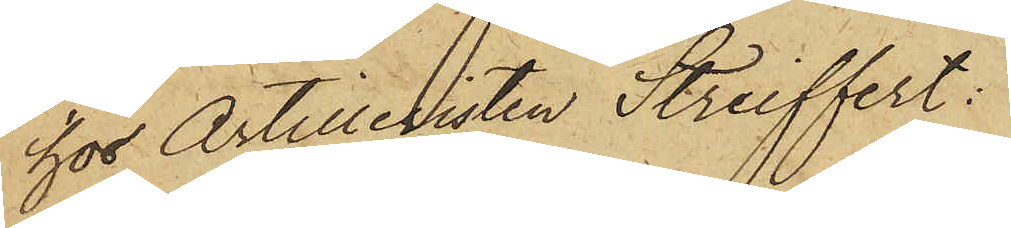hos Artilleristen Streiffert:
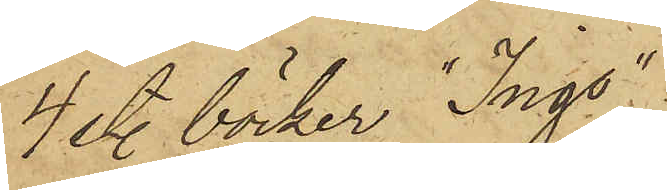4 sty. böcker "Ingo"
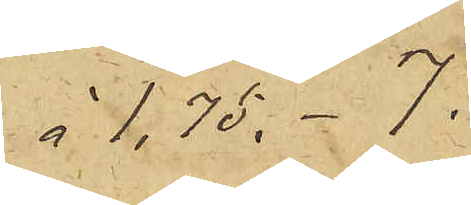à 1,75 - 7
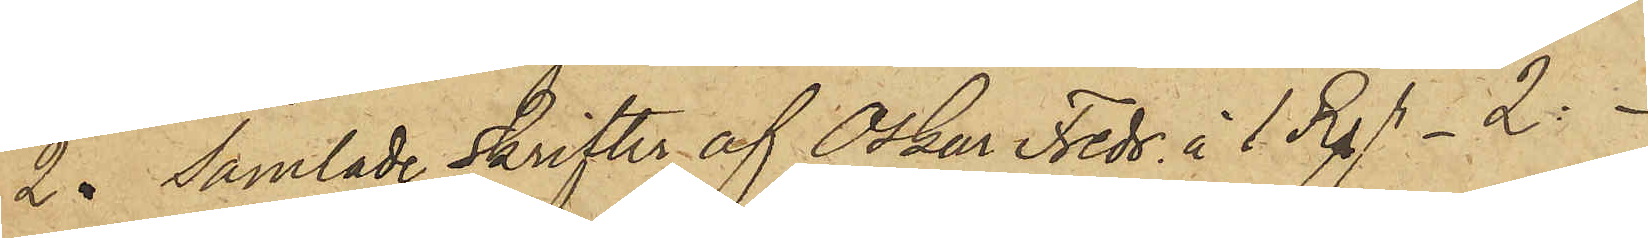2  Samlade Skrifter af Oskar Fredr. à 1 Rdr 2
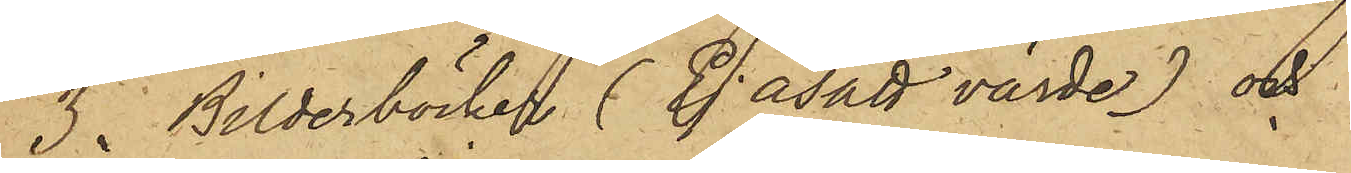3 Bilderböcker (Ej åsatt värde) och
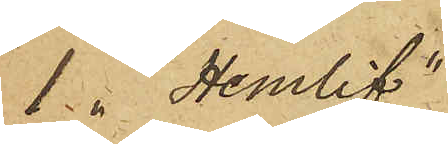1 "Hemlif"
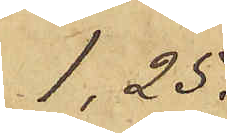1,25.
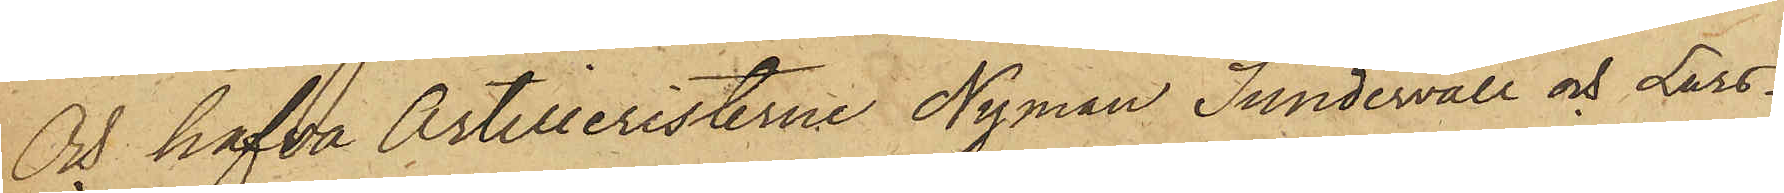Och hafva Artilleristerne Nyman, Sundervall och Lars¬
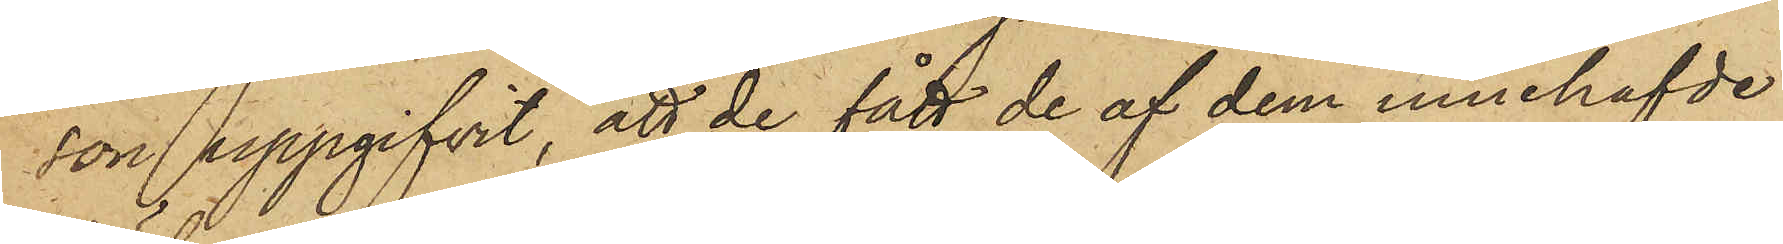son uppgifvit, att de fått de af dem innehafvde
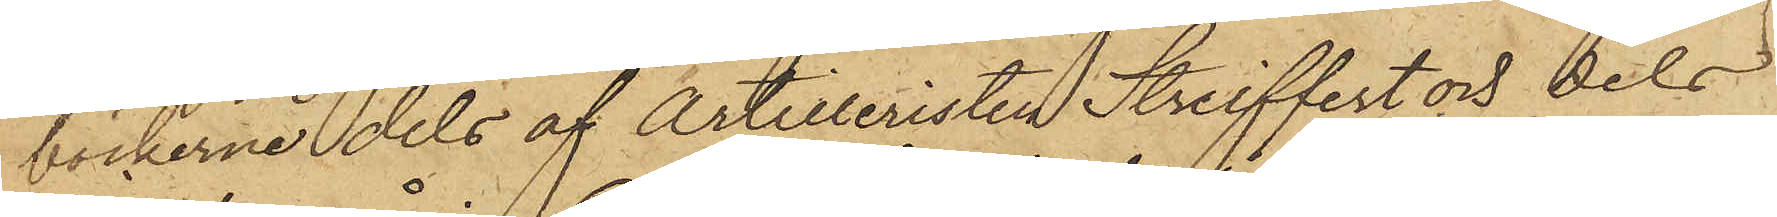böckerne dels af Artilleristen Streiffert och dels
